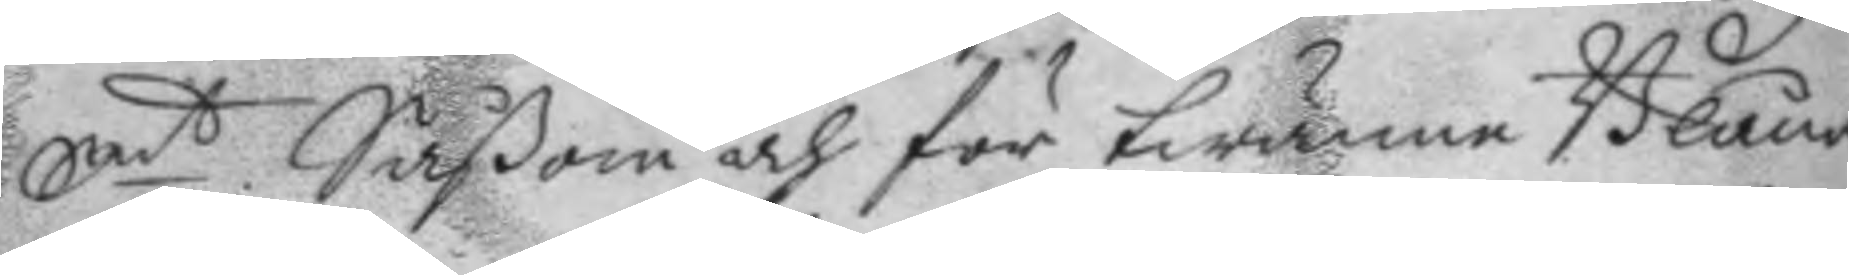Smt. Såsom och för twänne Blåna¬
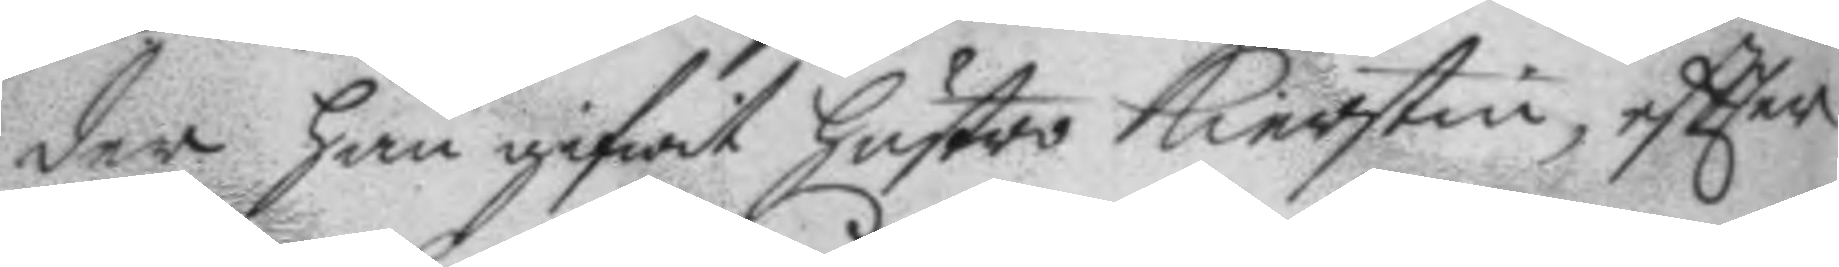der han gifwit hustro Kierstin, eftter
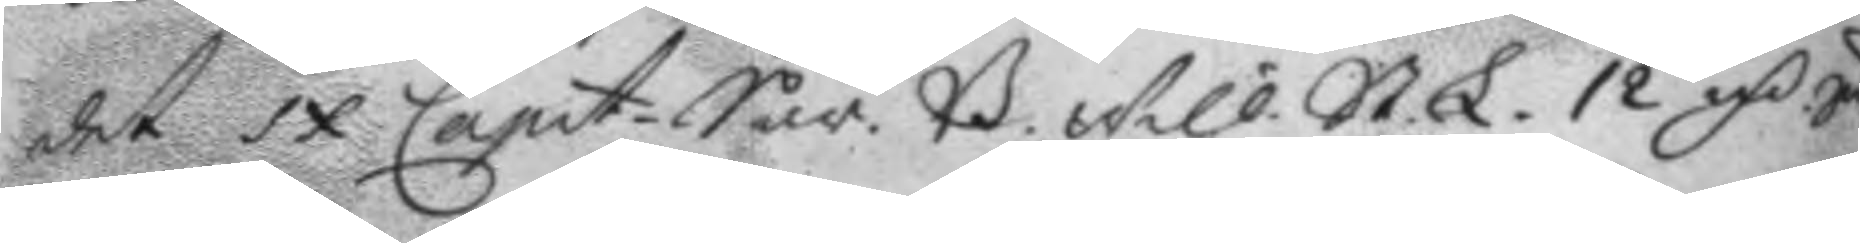det IX Capit. Sår. B. will. St. L. 12 mC Smt
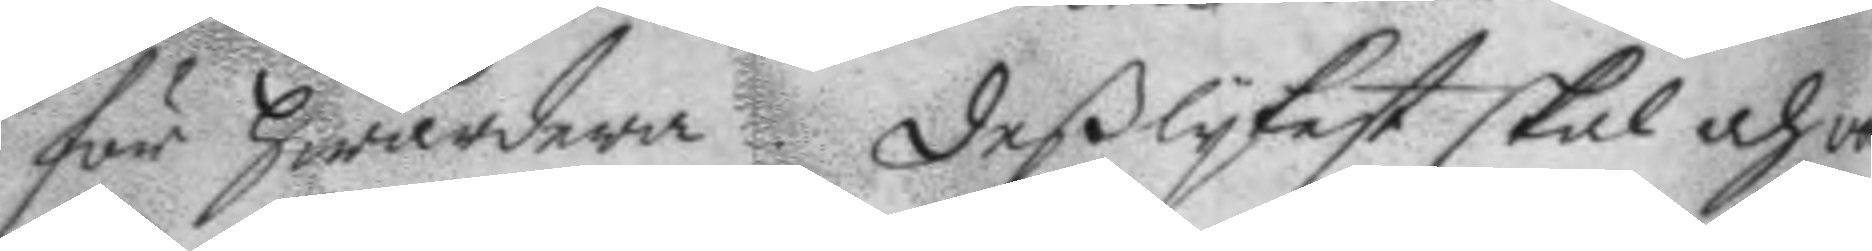för hwardera. deßlykest skal och von
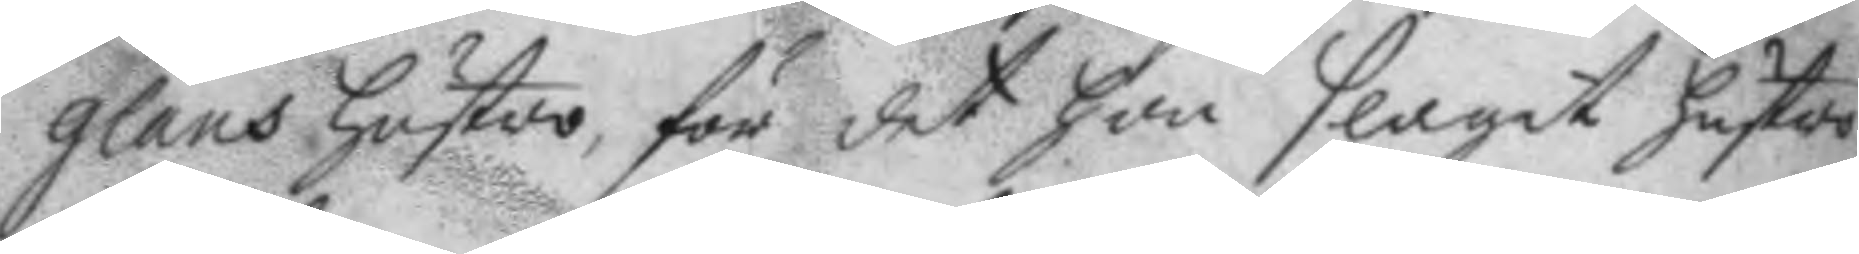glans hustro, för det hon slagit hustro
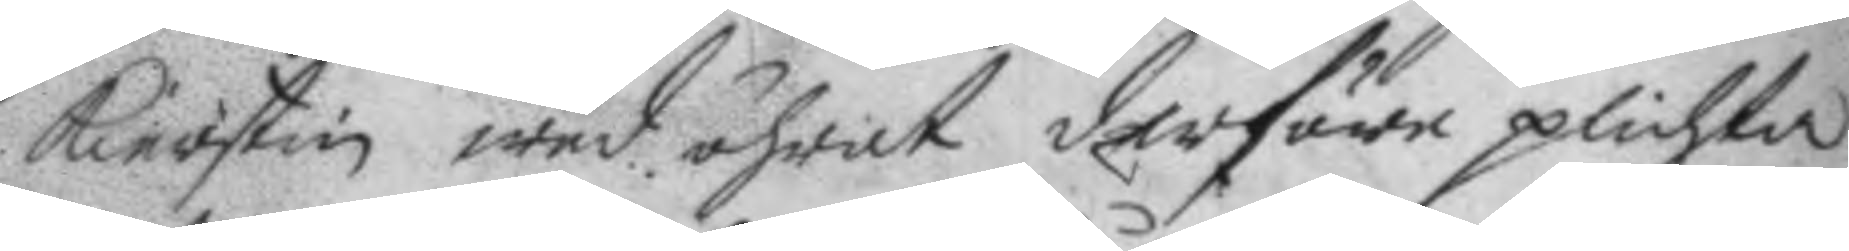Kierstin wed öhrat derföre plichta
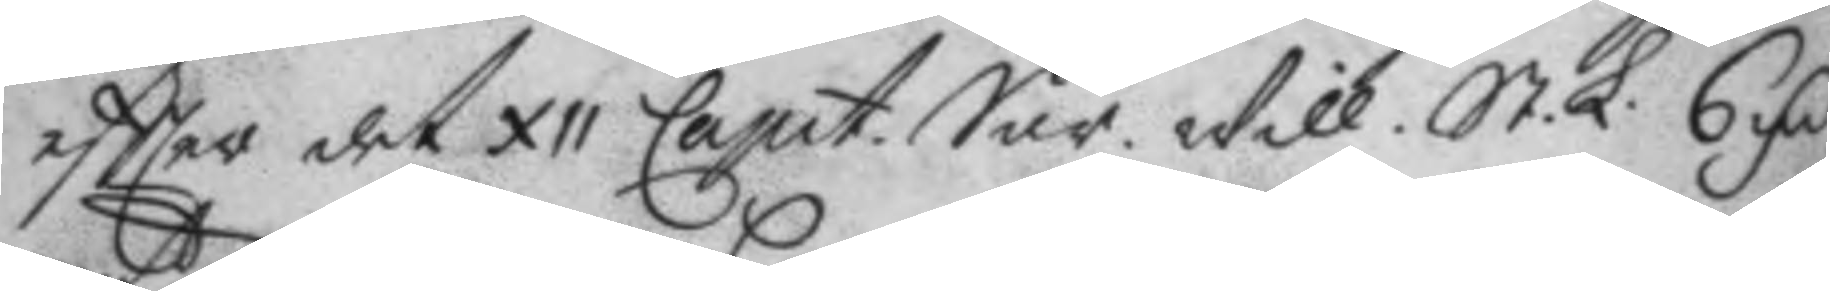eftter det XII Capit. Sår. Will. St. L. 6 mC
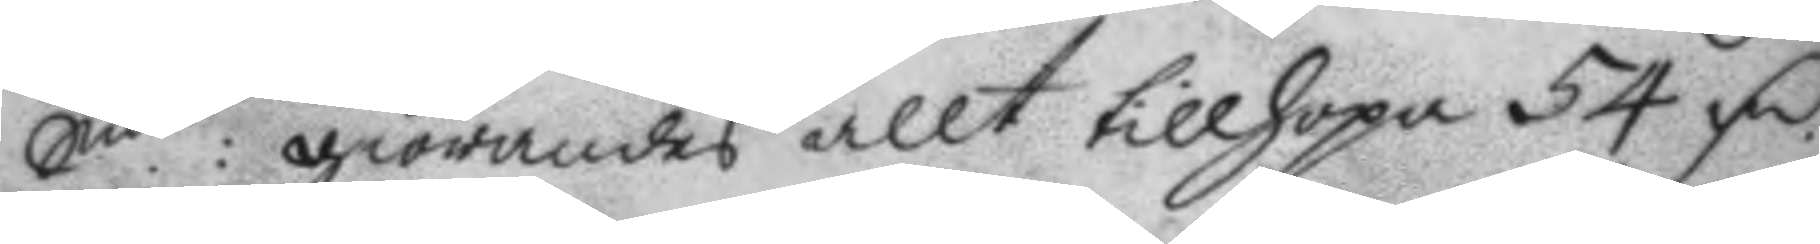Smt: giörandes allt tillhopa 54 mC.
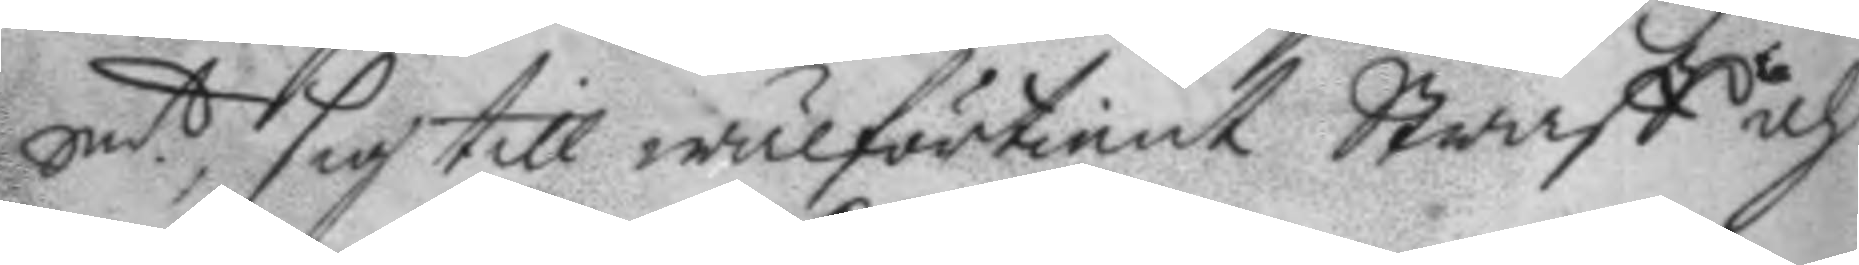Smt, sig till wälförtient Straff och
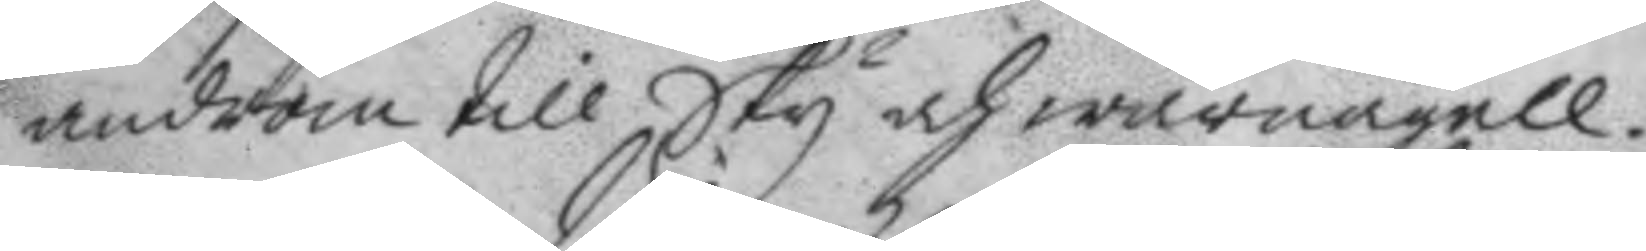androm till Sky och warnagell.
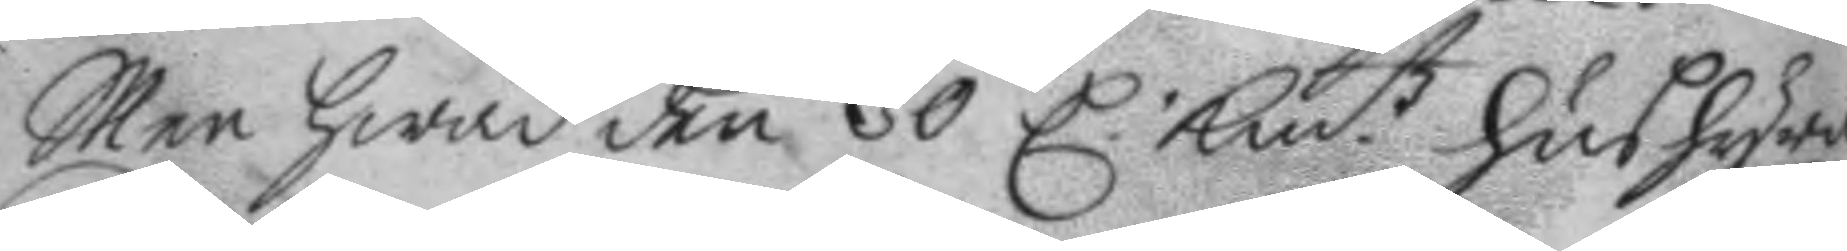Men hwad den 30 C. Kmtz hushyra
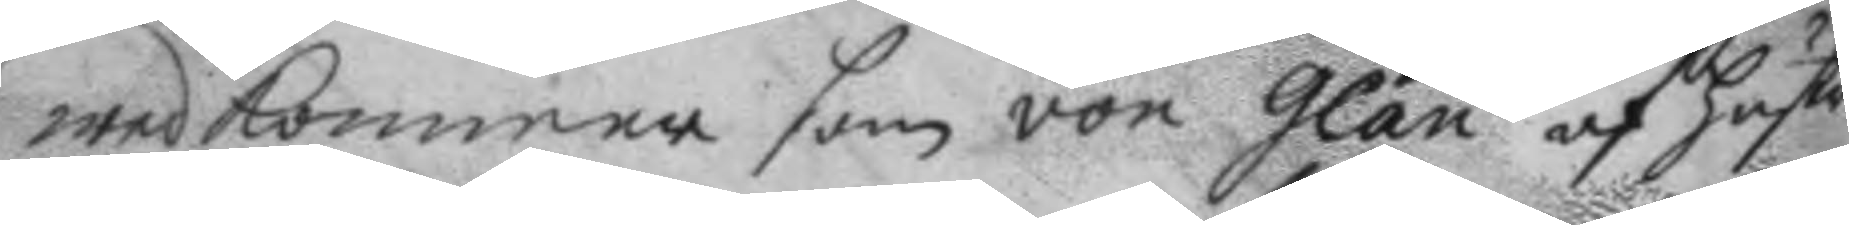wedkommer som von Glan af hustro
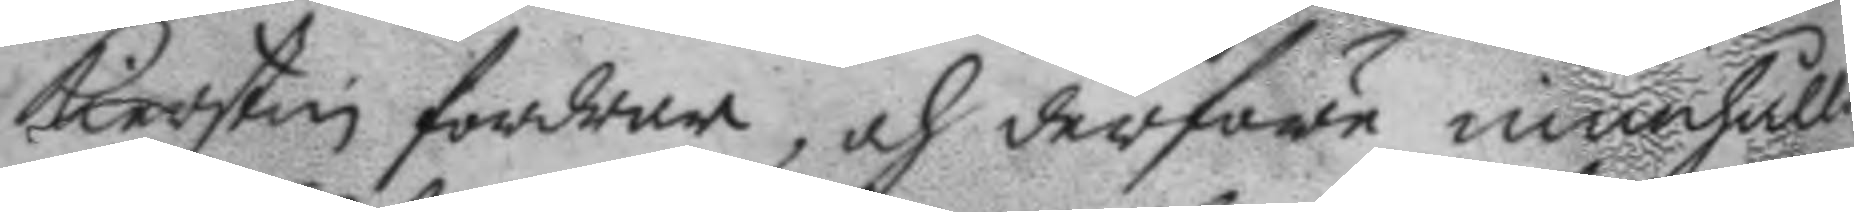Kierstin fordrar, och derföre innehålle
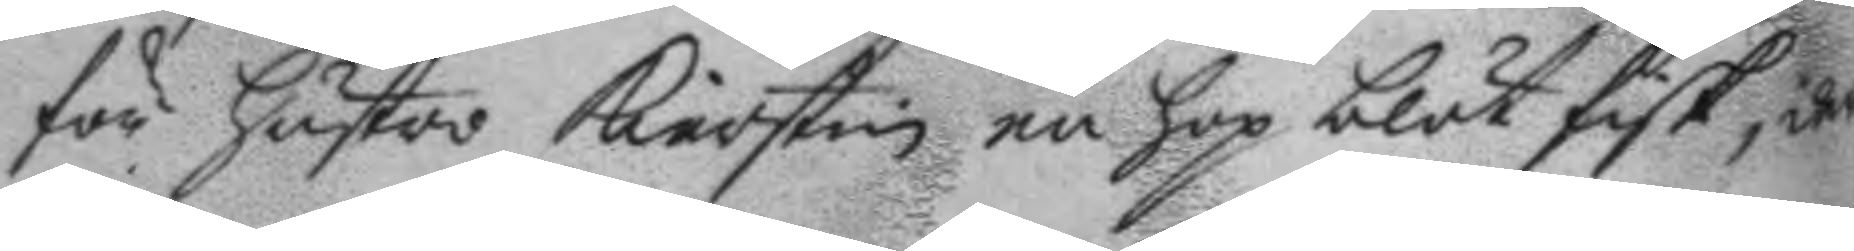för hustro Kierstin en hop blöt fisk, der¬
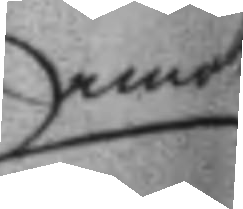emot
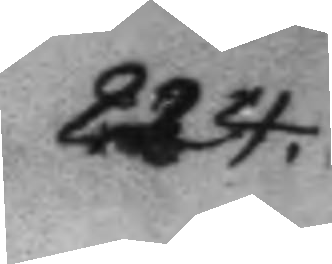224.
